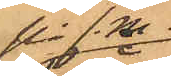på f.m.
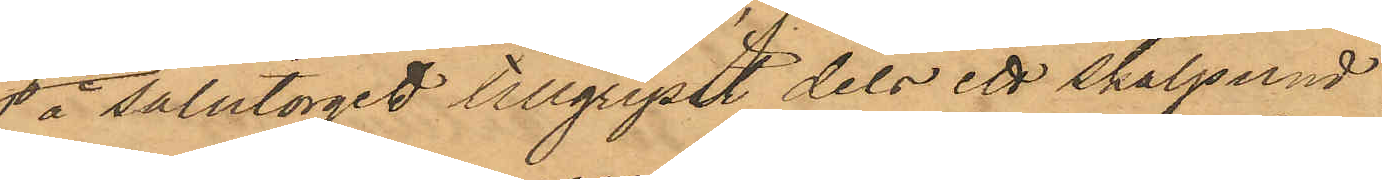å salutorget tillgripit dels ett skålpund
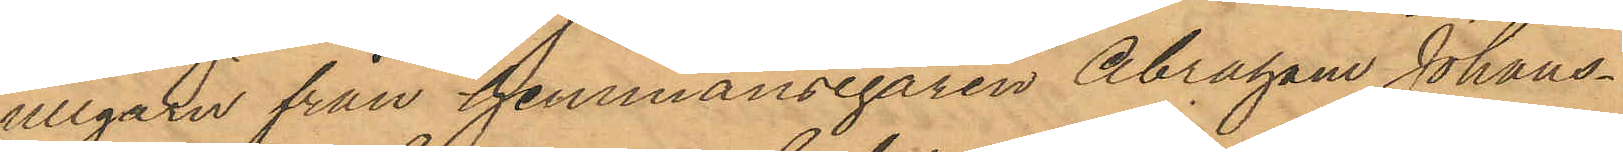ullgarn från hemmansegaren Abraham Johans¬
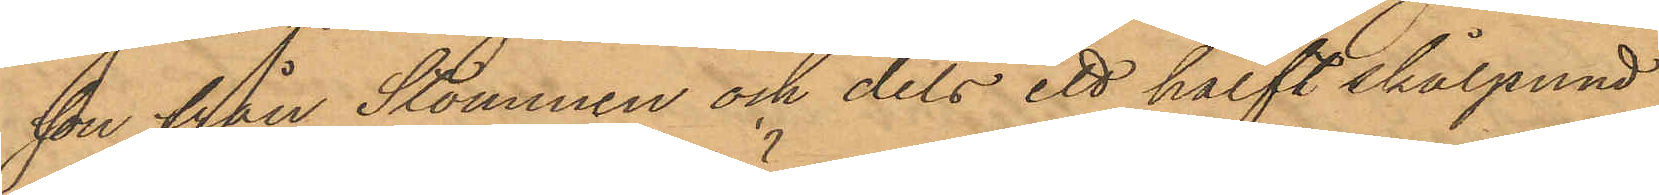son från Stommen och dels ett halft skålpund
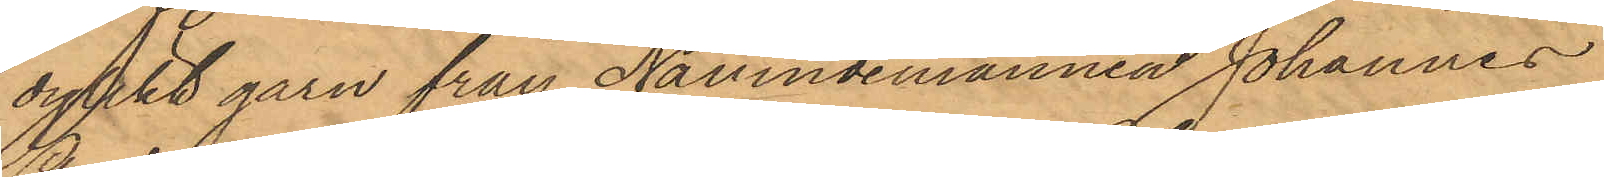dylikt garn från Nämndemannen Johannes
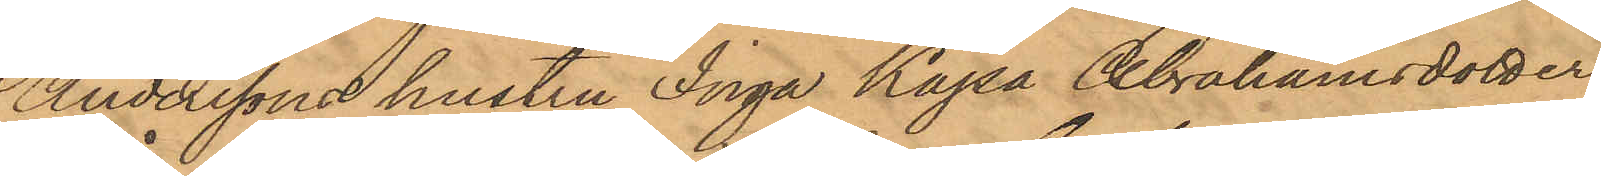Anderssons hustru Inga Kajsa Abrahamsdotter
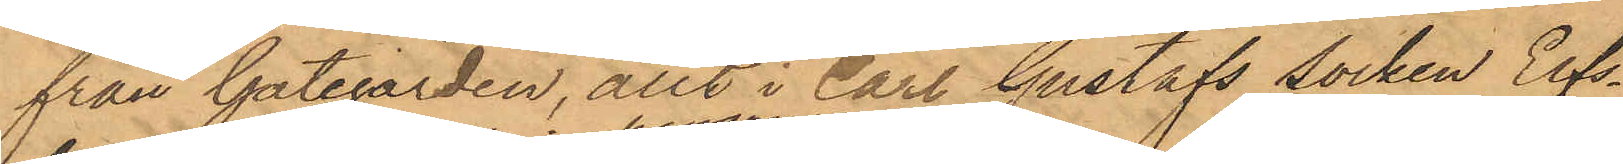från Gategården, allt i Carl Gustafs socken Elfs¬
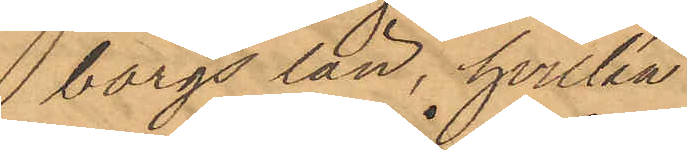borgs län, hvilka
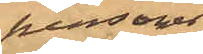personer
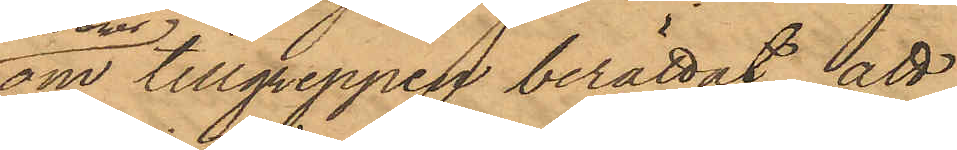om tillgreppen berättat, att
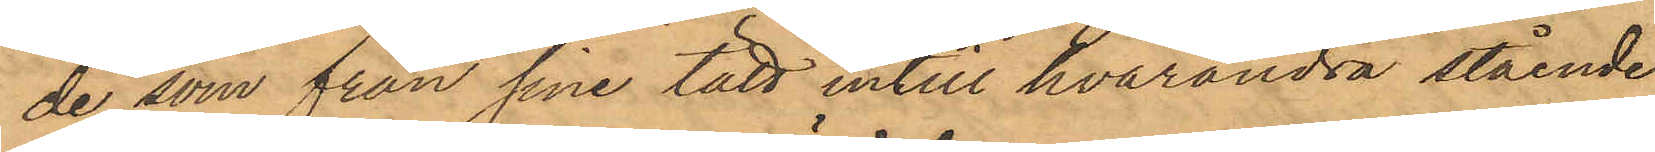de, som från sine tätt intill hvarandra stående
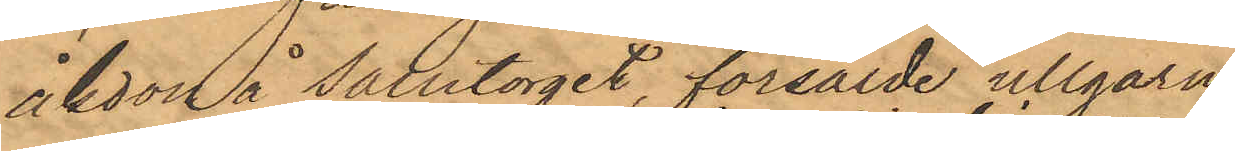åkdon å salutorget, försålde ullgarn
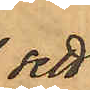sett
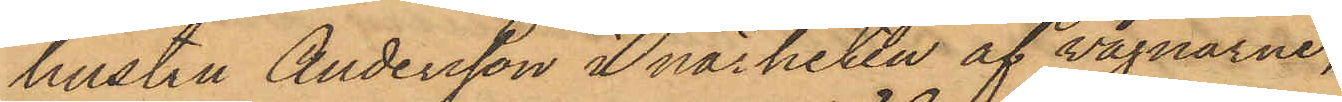hustru Andersson i närheten af vagnarne,
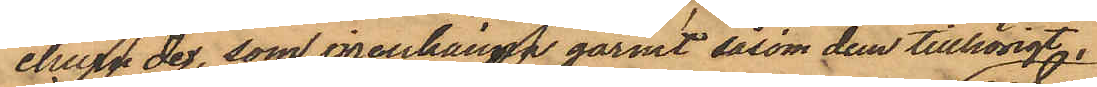ehuru de, som igenkänt garnet såsom dem tillhörigt,
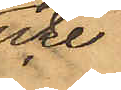icke
